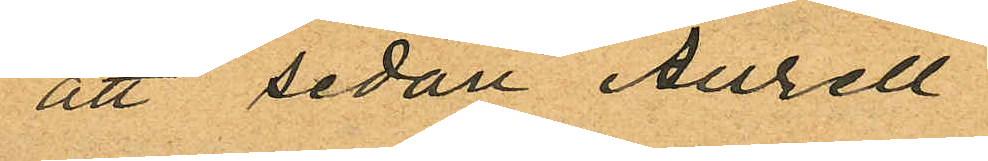att sedan Aurell
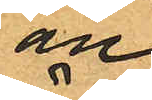an¬
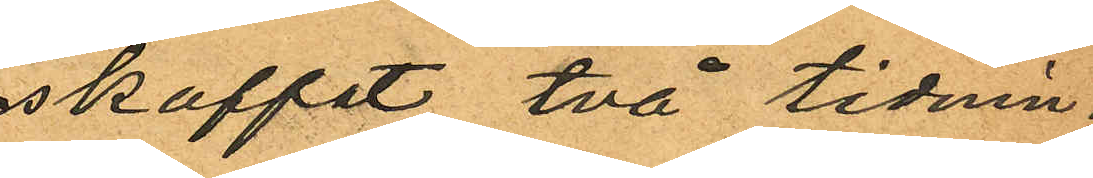skaffat två tidnin¬
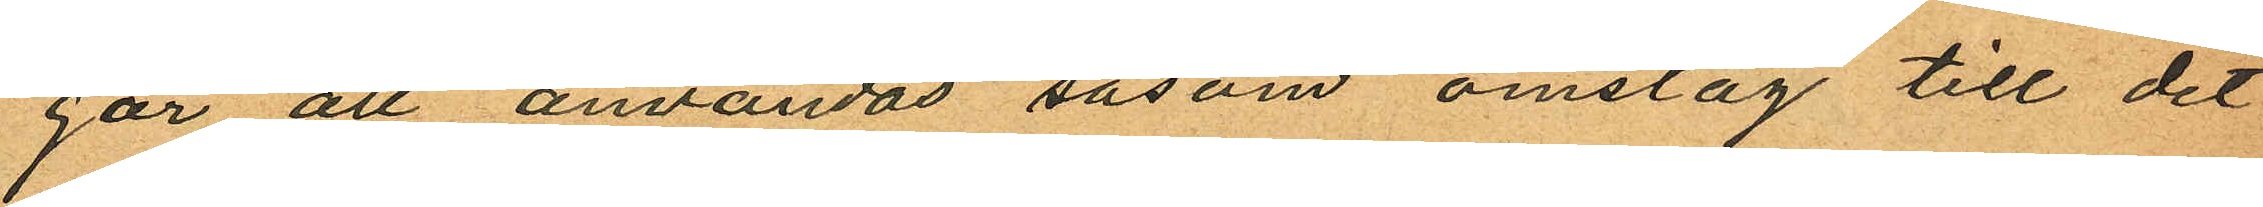gar att användas såsom omslag till det
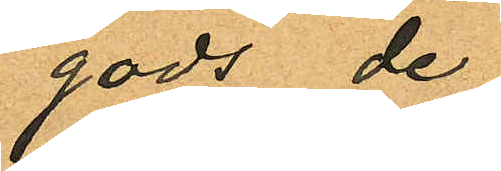gods de
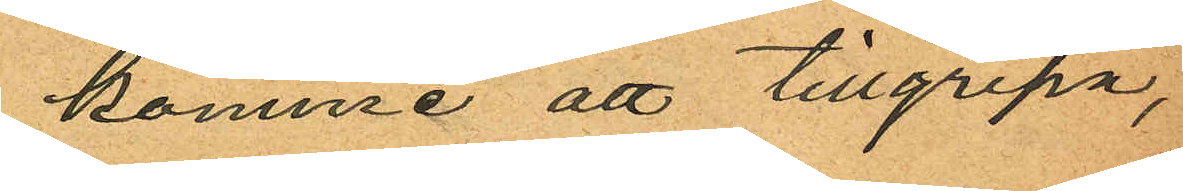komme att tillgripa,
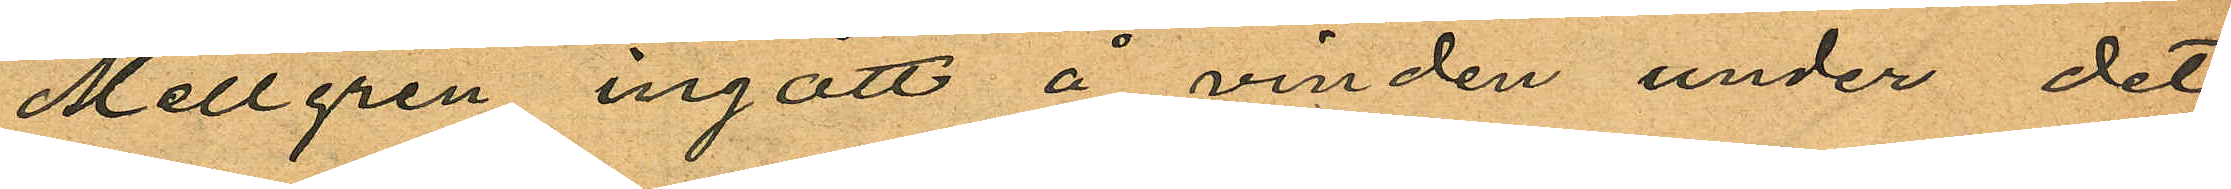Mellgren ingått å vinden under det
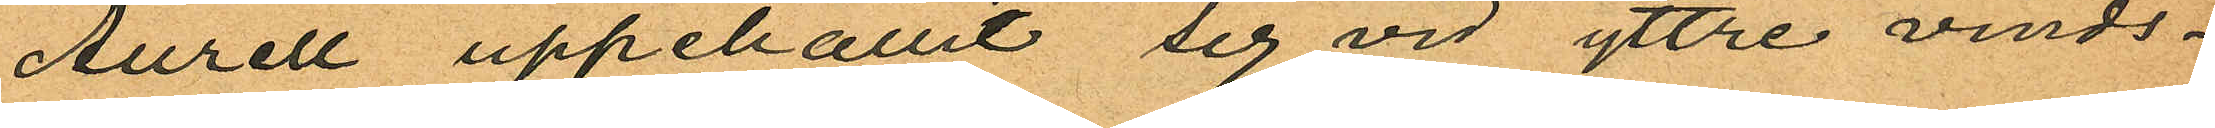Aurell uppehållit sig vid yttre vinds¬
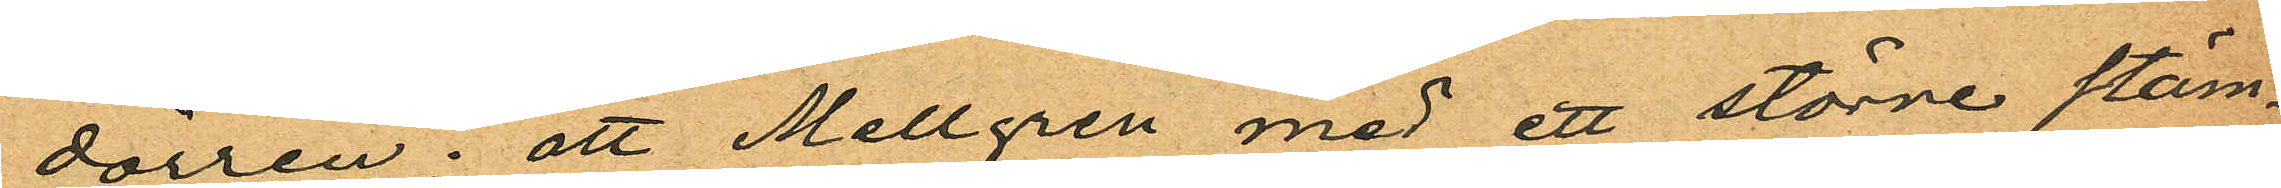dörren; att Mellgren med ett större stäm¬
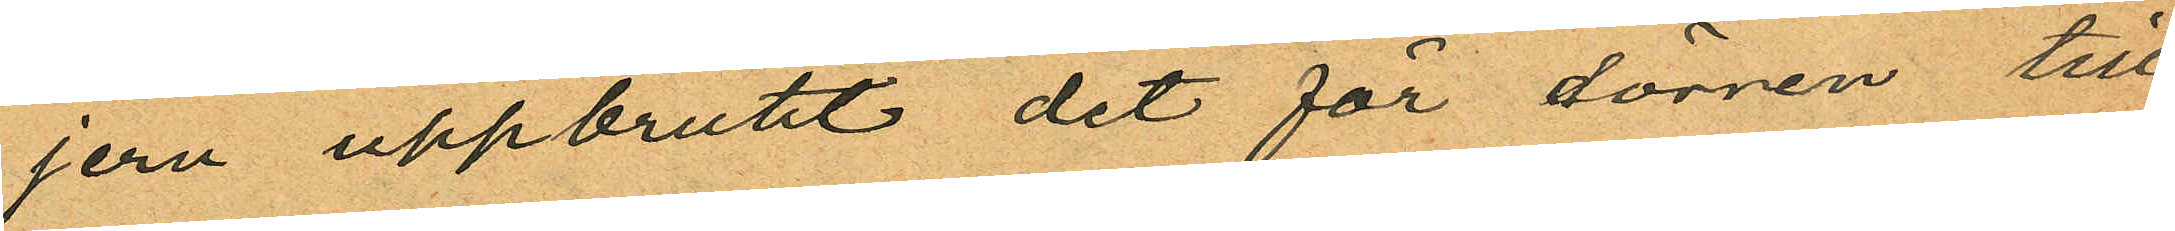jern uppbrutit det för dörren till
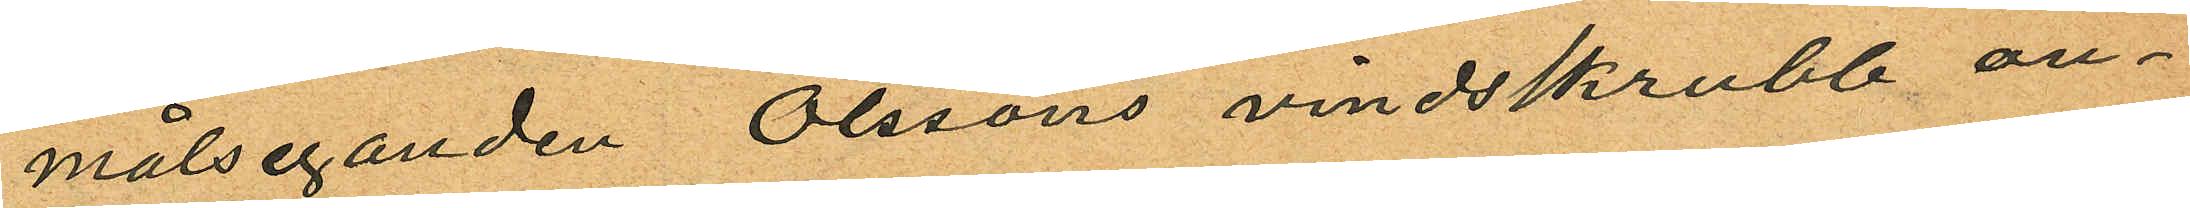målseganden Olssons vindskrubb, an¬
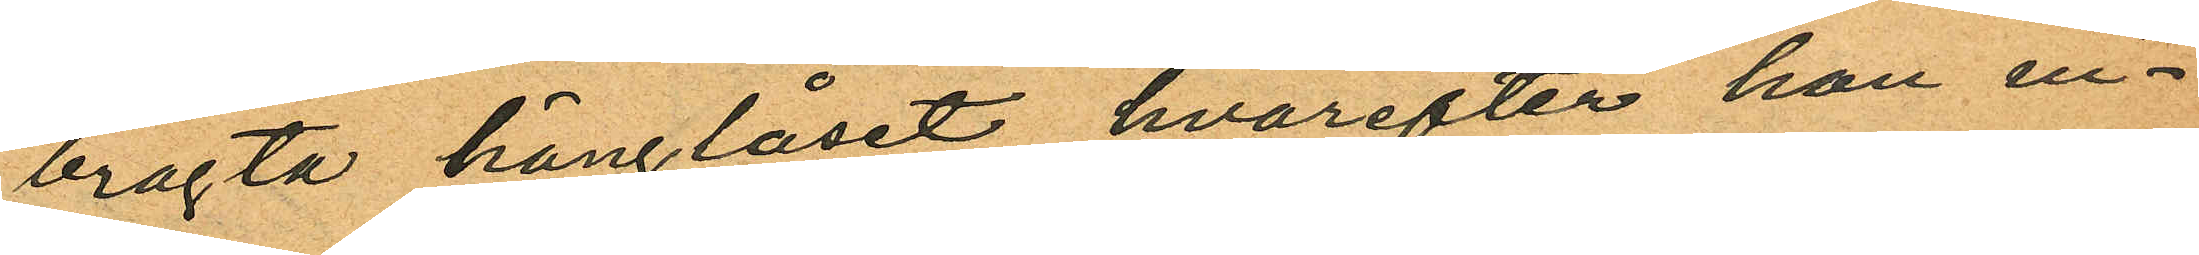bragta hänglåset, hvarefter han in¬
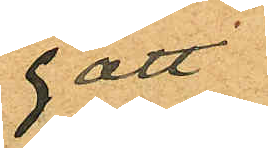gått
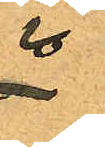i
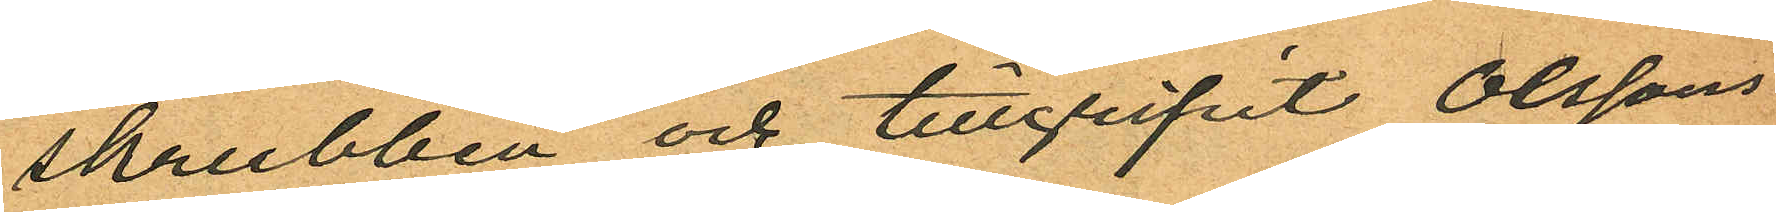skrubben och tillgripit Olssons
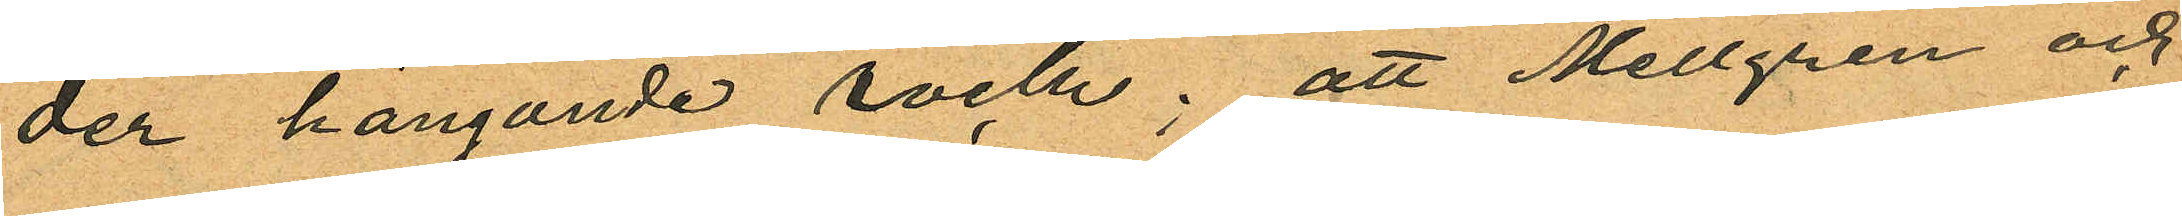der hängande rock; att Mellgren och
